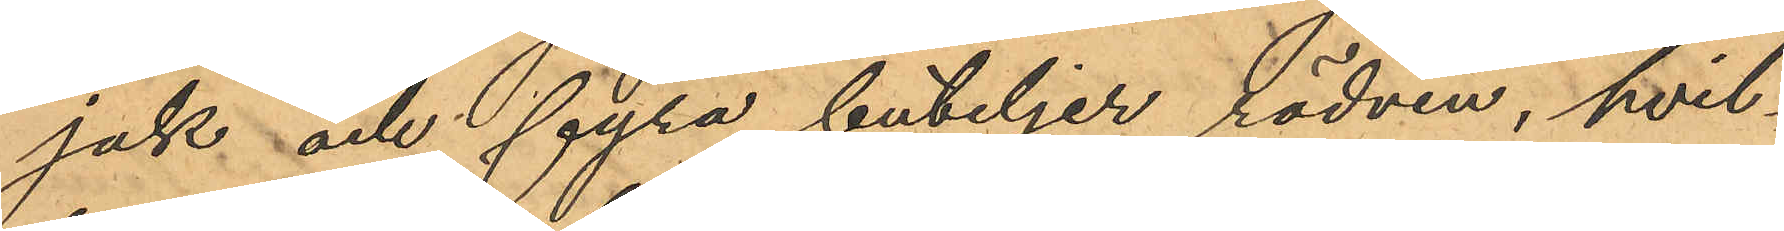jak och fyra buteljer rödvin, hvil¬
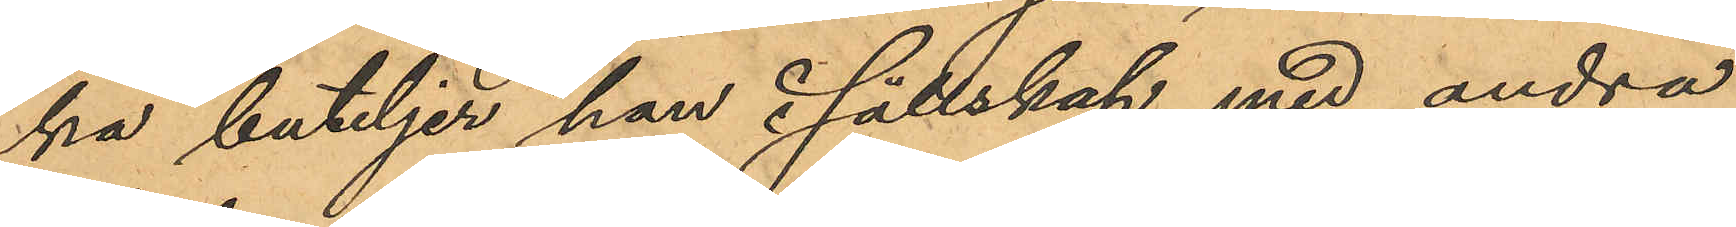ka buteljer han i sällskap med andra
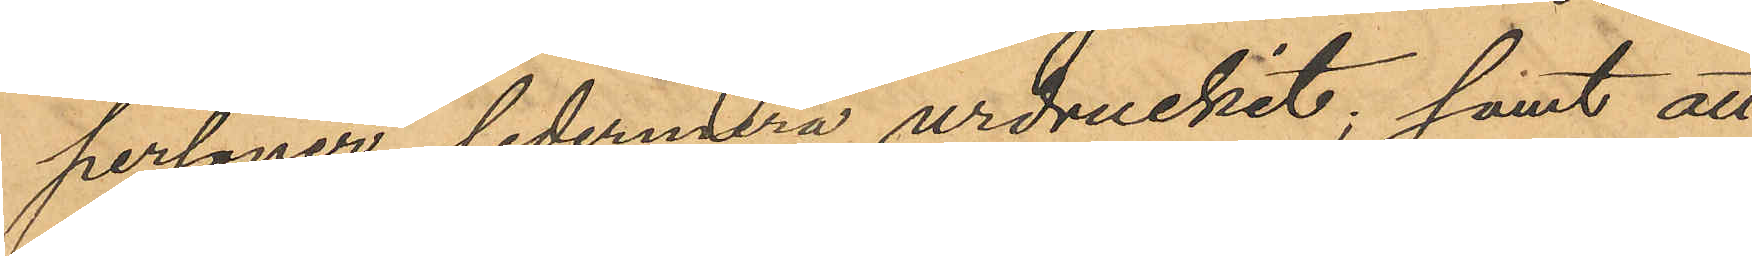personer sedermera urdruckit; samt att
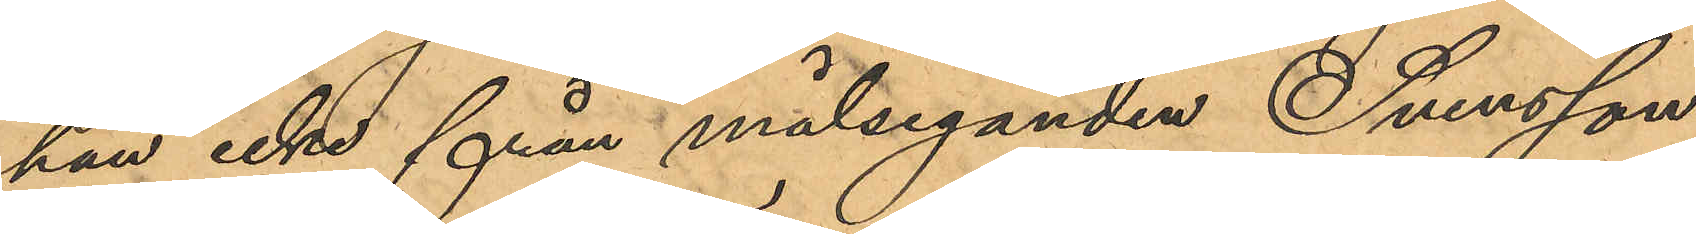han icke från målseganden Svensson
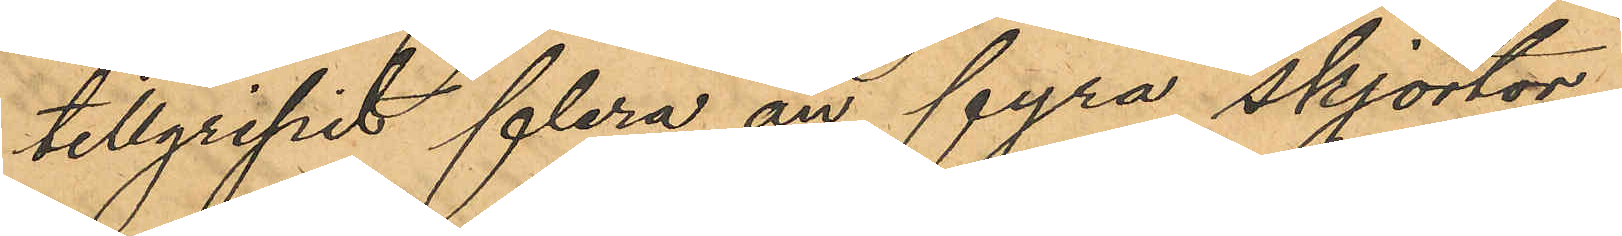tillgripit flera än fyra skjortor.
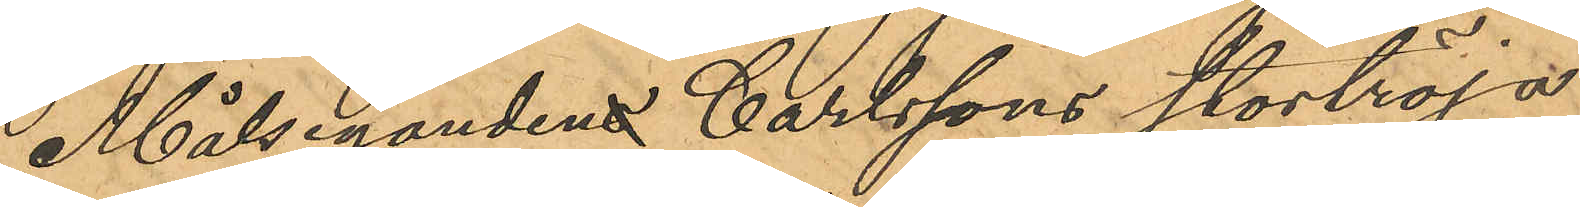Målsegandens Carlssons stortröja
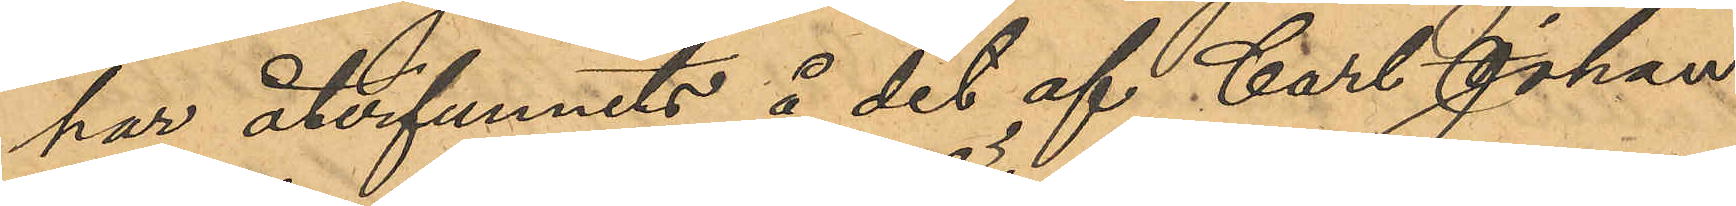har återfunnits å det af Carl Johan
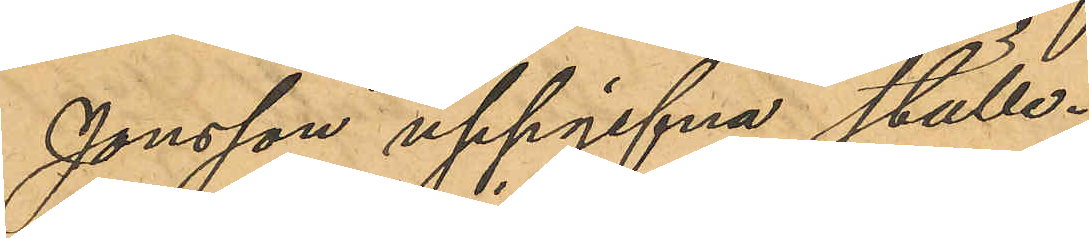Jonsson uppgifna ställe.
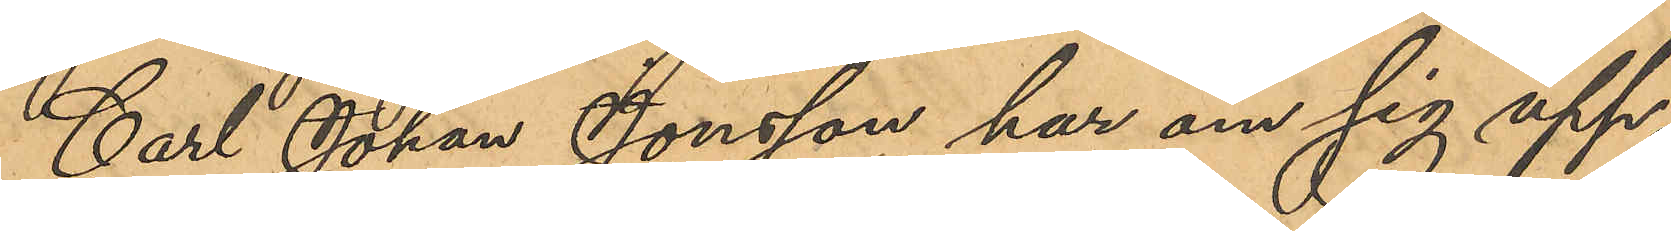Carl Johan Jonsson har om sig upp¬
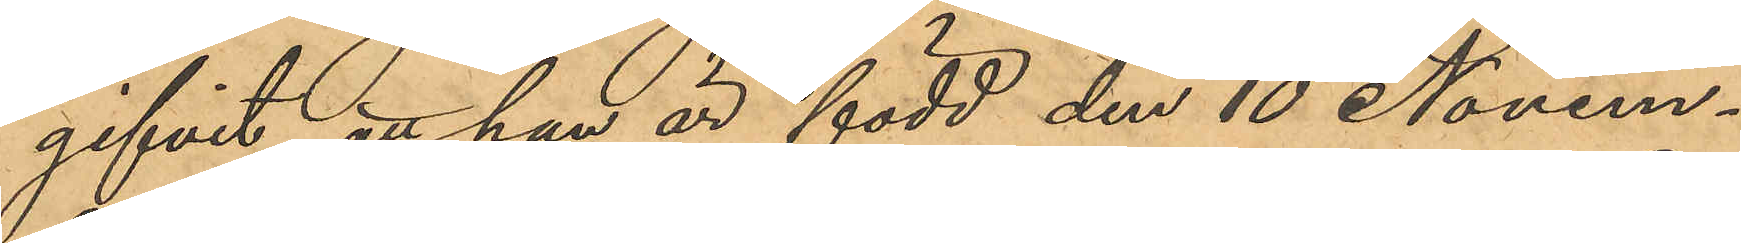gifvit att han är född den 10 Novem¬
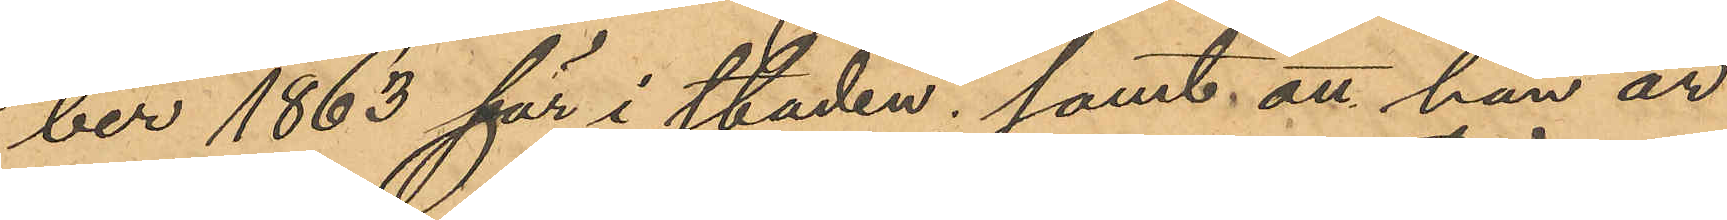ber 1863 här i staden; samt att han är
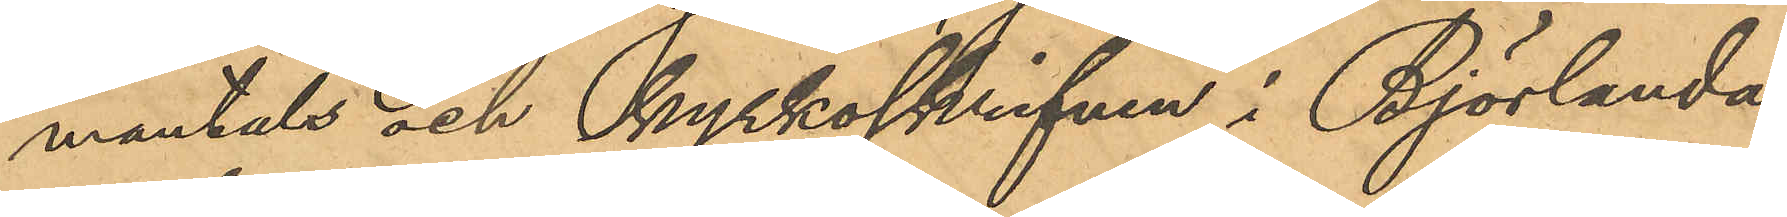mantals och kyrkoskrifven i Björlanda
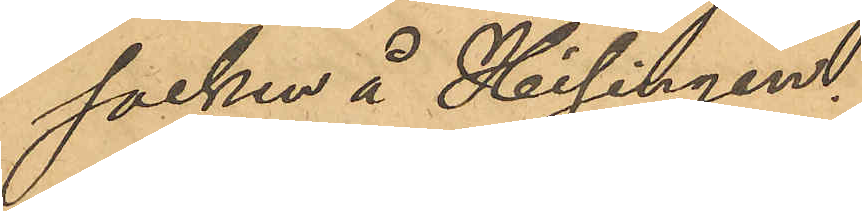socken å Hisingen.
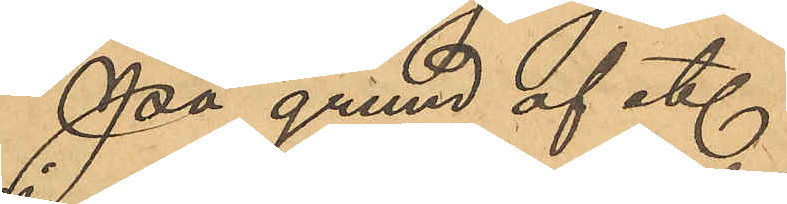På grund af etc.
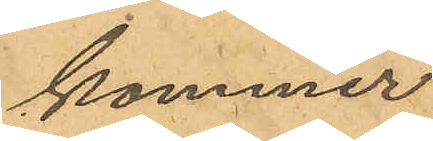kommer
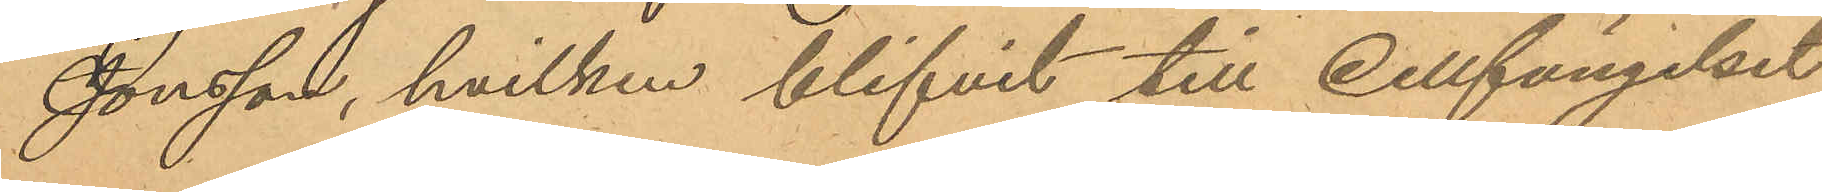Jonsson, hvilken blifvit till cellfängelset
